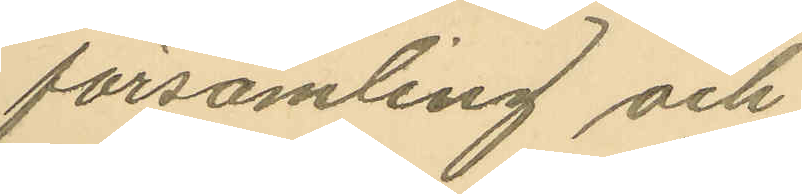församling och
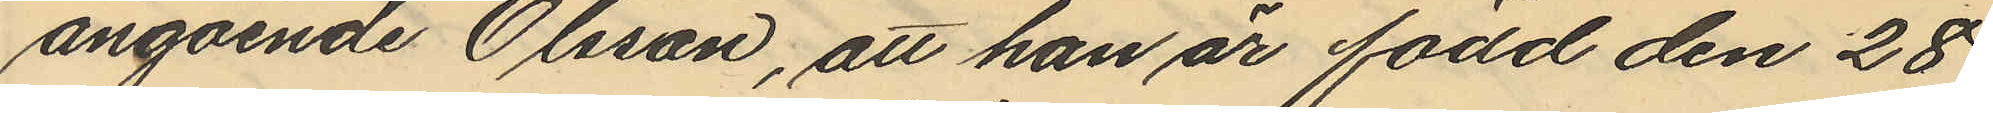angående Olsson, att han är född den 28
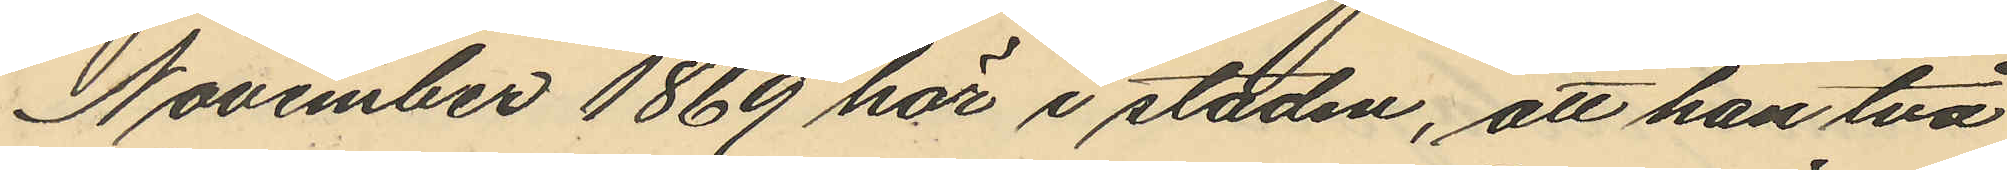November 1869 här i staden, att han två
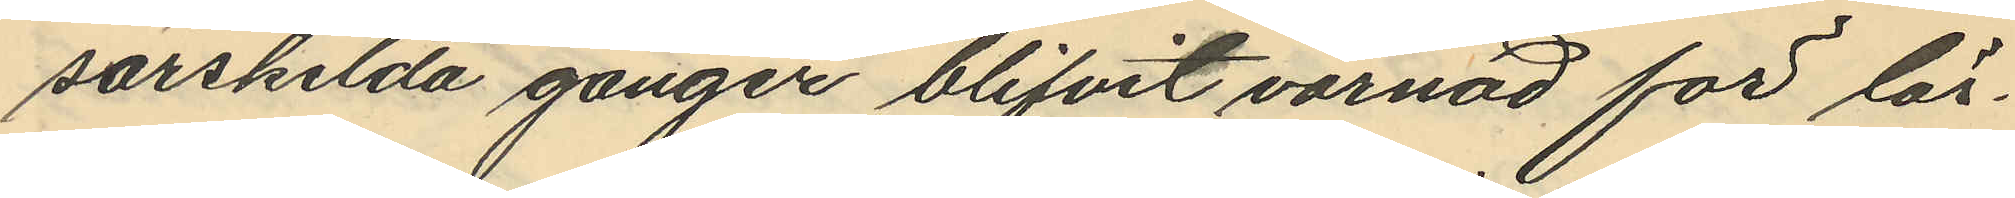särskilda gånger blifvit varnad för lös¬
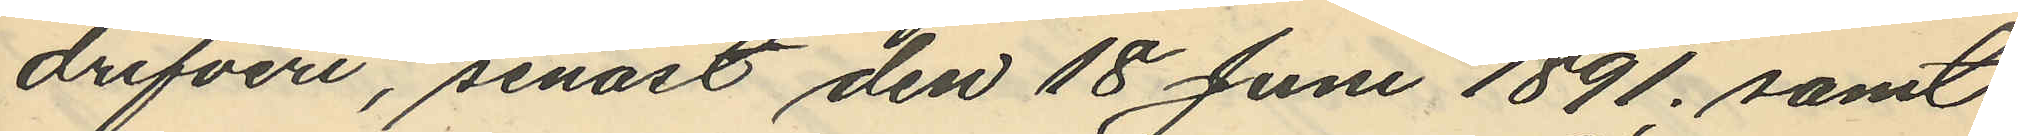drifveri, senast den 18 Juni 1891. samt
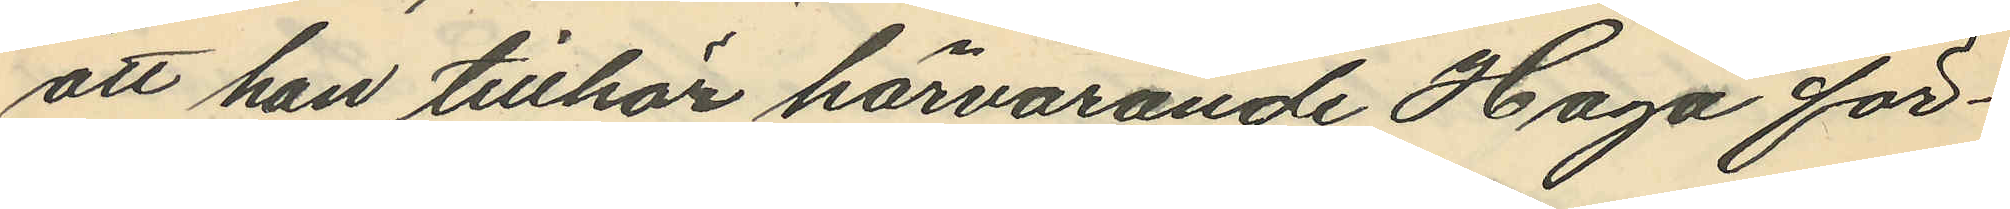att han tillhör härvarande Haga för¬
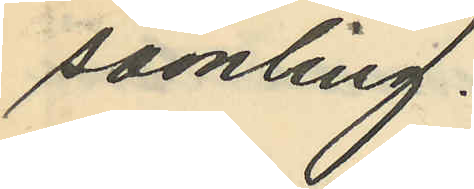samling.
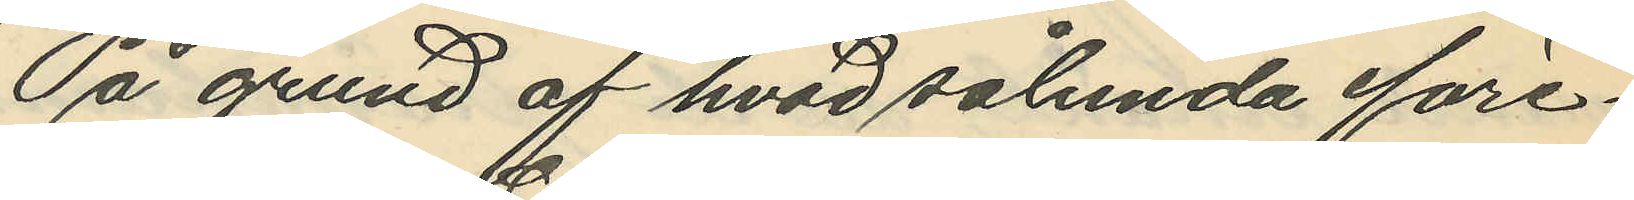På grund af hvad sålunda före¬
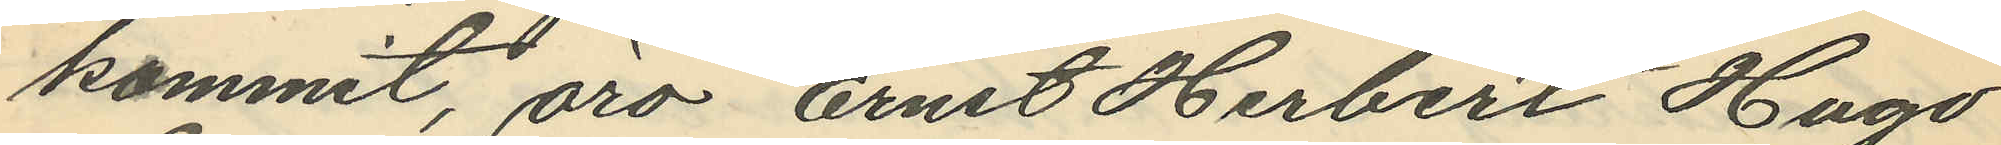kommit, äro Ernst Herbert Hugo
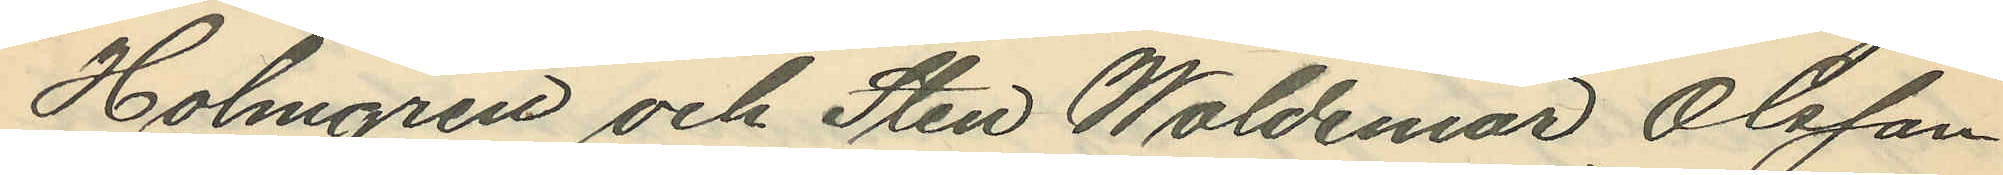Holmgren och Sten Waldemar Olsson
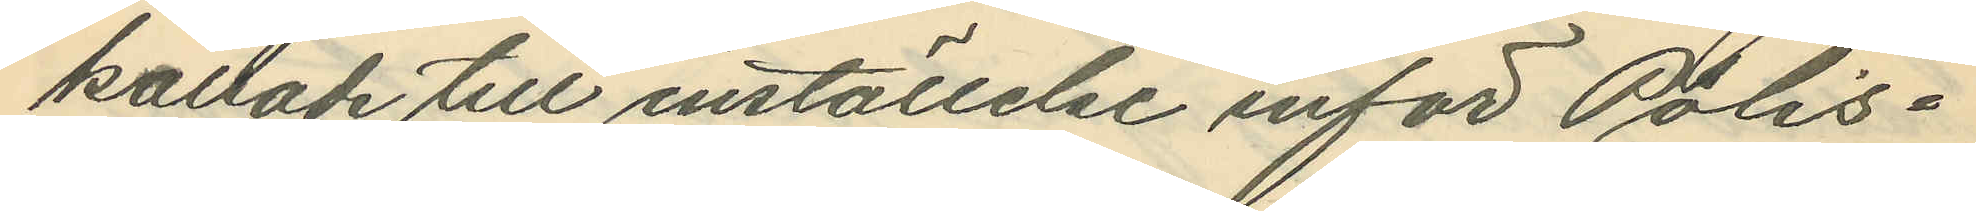kallade till inställelse inför Polis¬
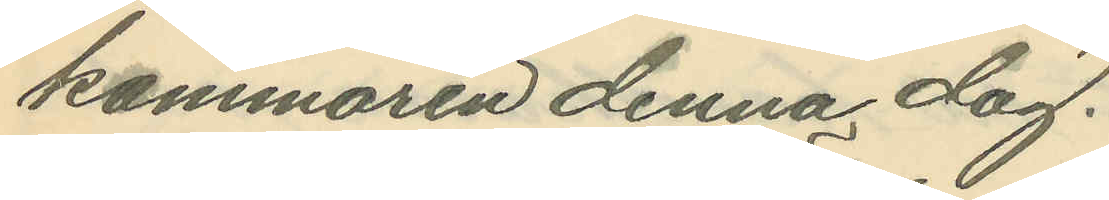kammaren denna dag.
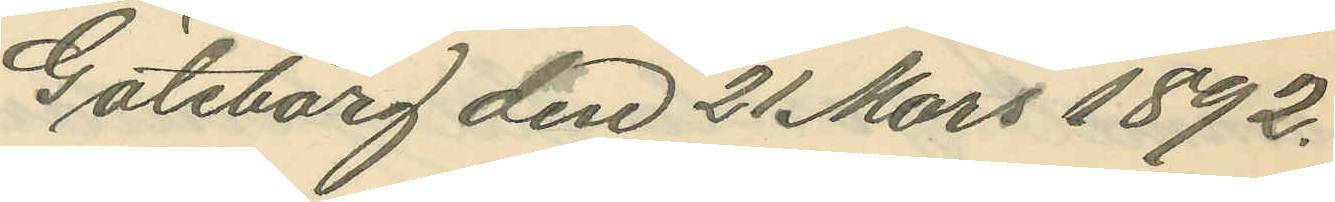Göteborg den 21 Mars 1892.
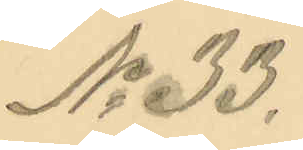No 33.
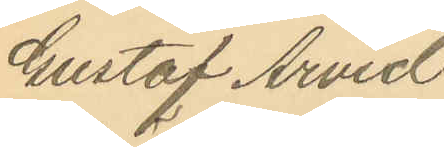Gustaf Arvid
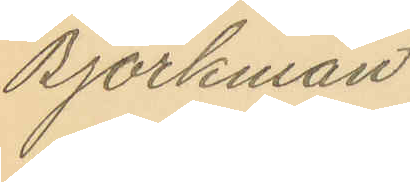Björkman.
